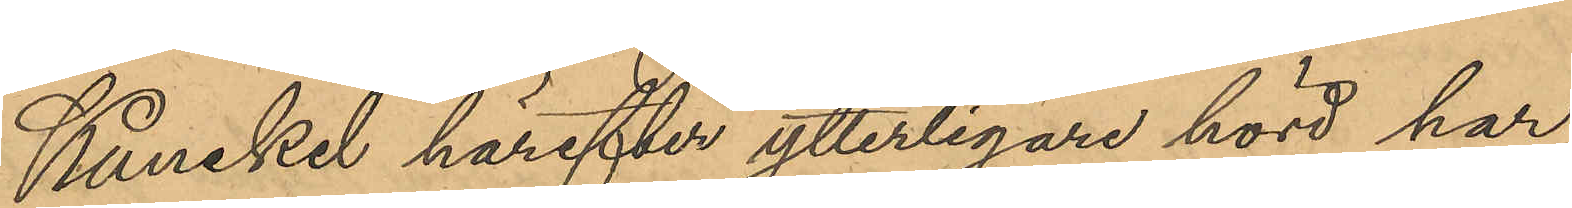Kunckel härefter ytterligare hörd har
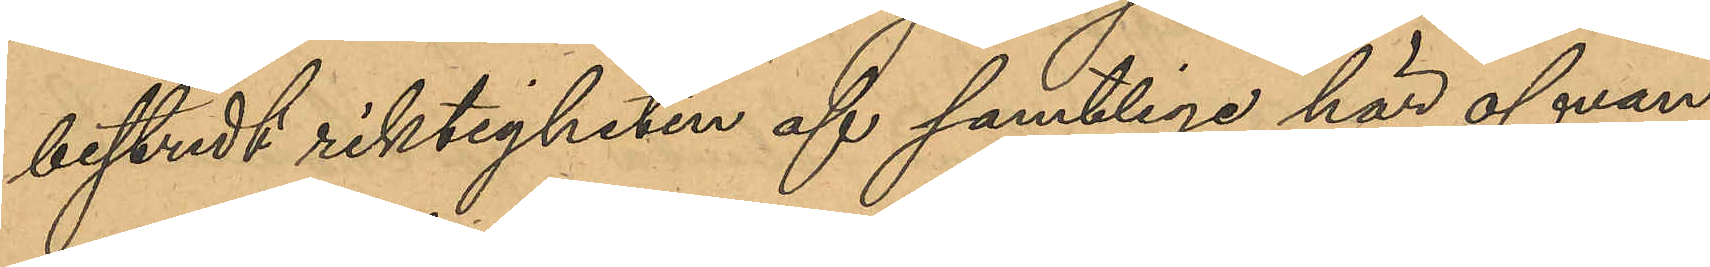bestridt riktigheten af samtliga här ofvan
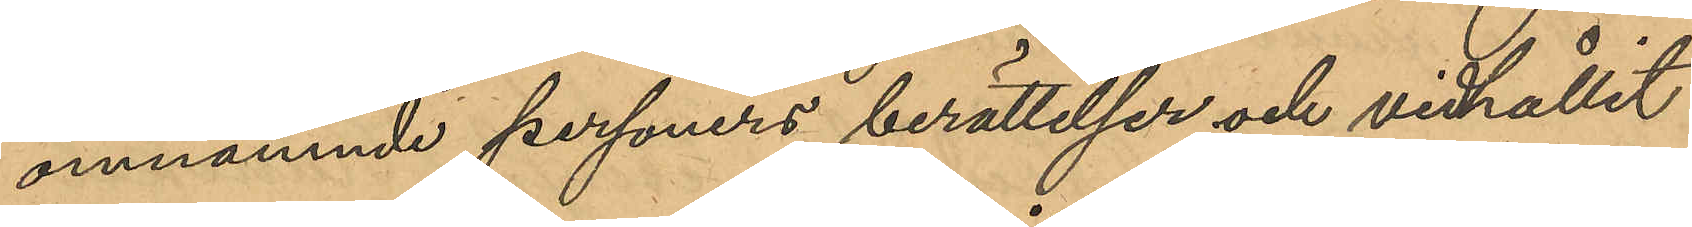omnämnde personers berättelser och vidhållit
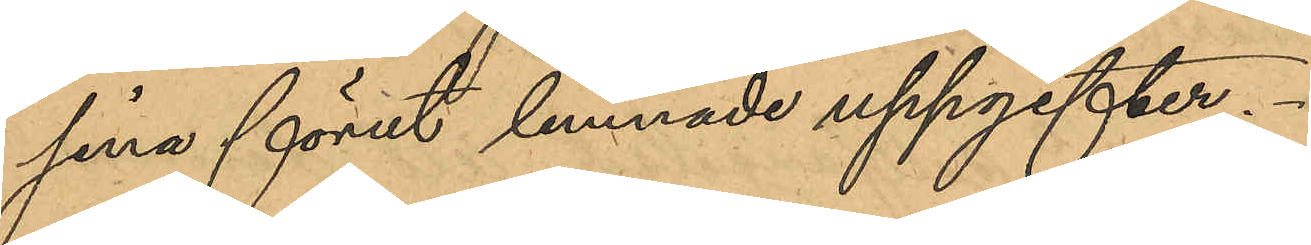sina förut lemnade uppgifter.
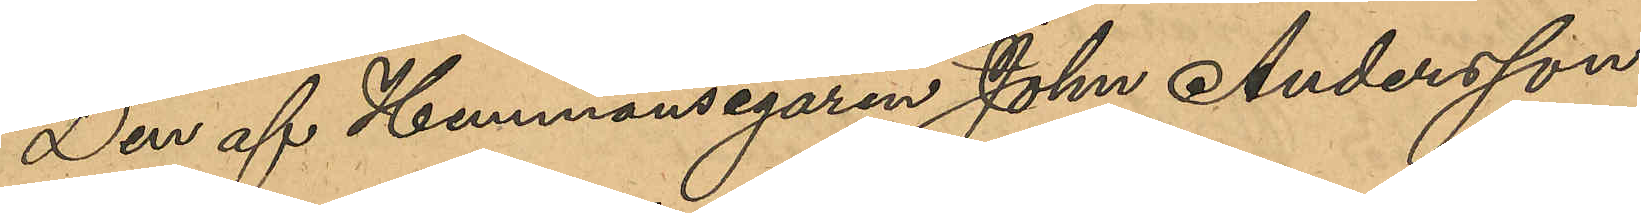Den af Hemmansegaren Johan Andersson
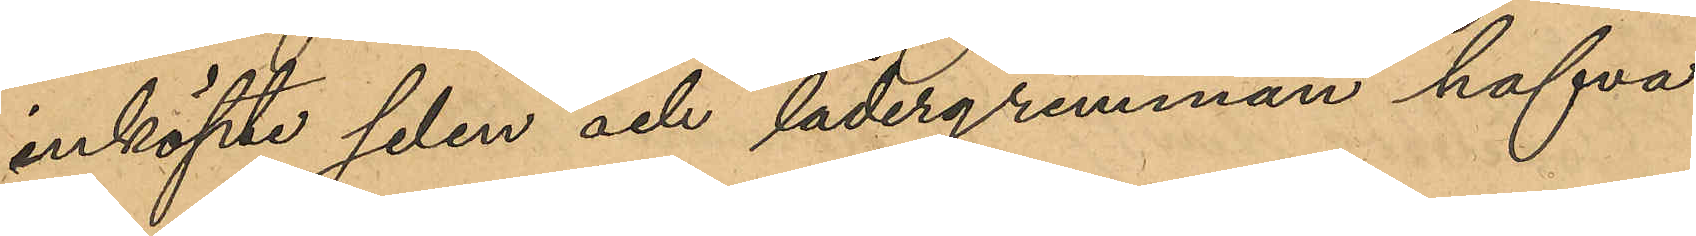inköpte selen och lädergrimman hafva
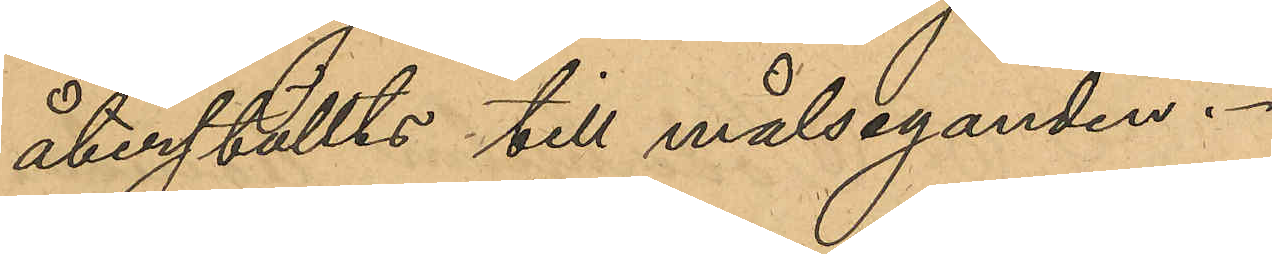återställts till målseganden.
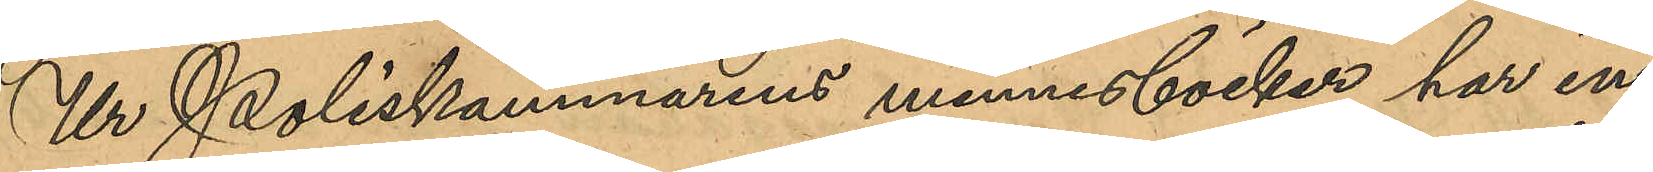Ur Poliskammarens minnesböcker har in¬
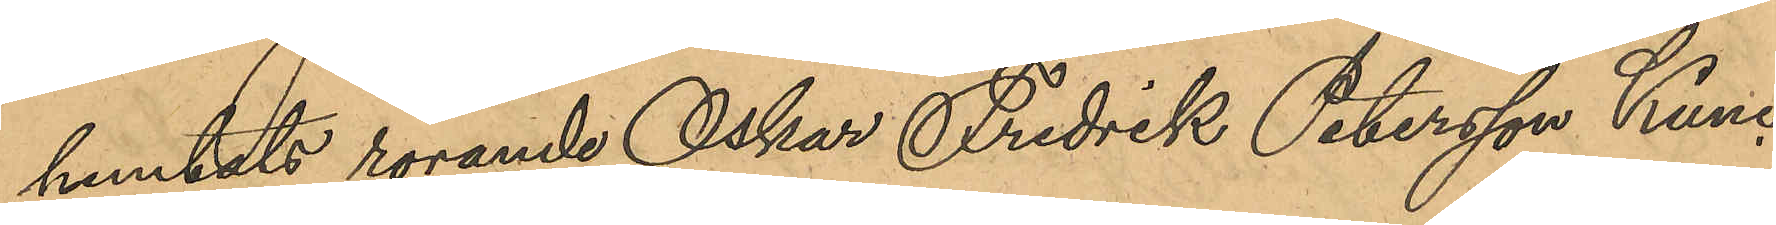hemtats rörande Oskar Fredrik Petersson Kunc¬
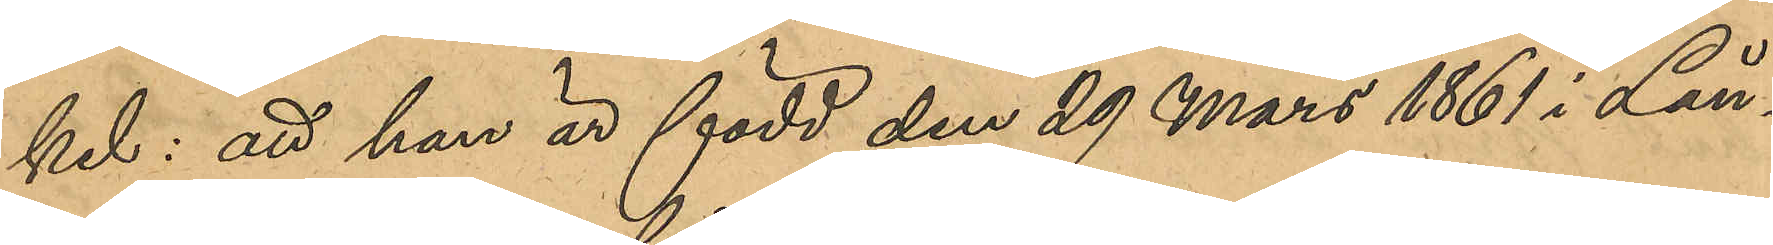kel; att han är född den 29 Mars 1861 i Lån¬
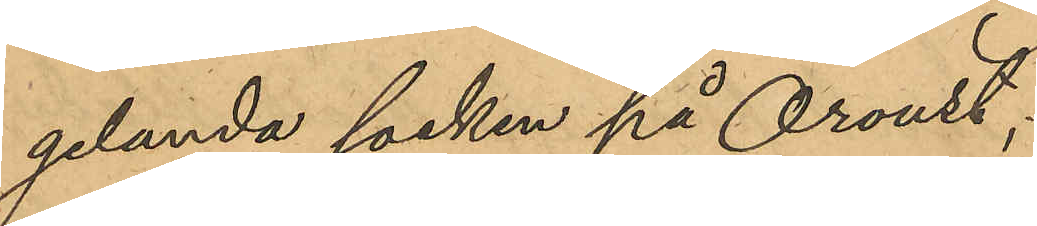gelanda socken på Oroust;
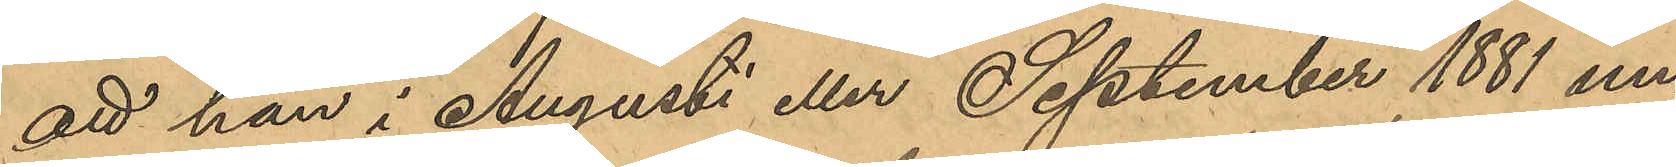att han i Augusti eller September 1881 un¬
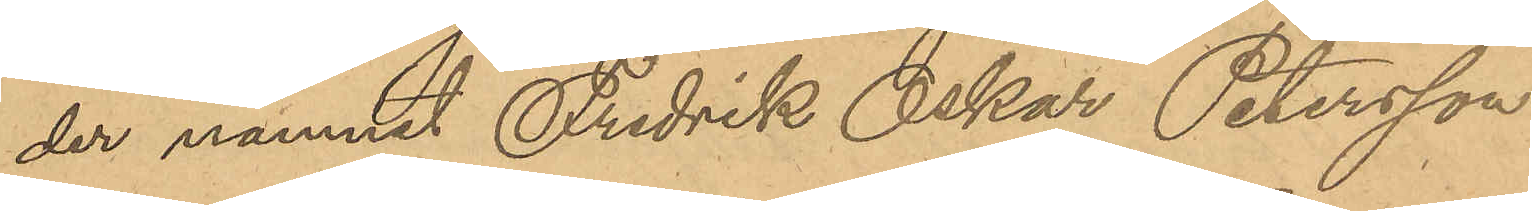der namnet Fredrik Oskar Petersson
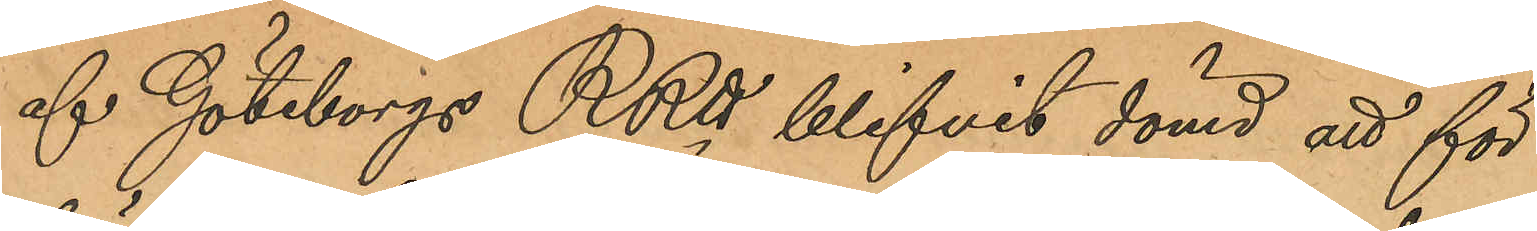af Göteborgs RRtt blifvit dömd att för
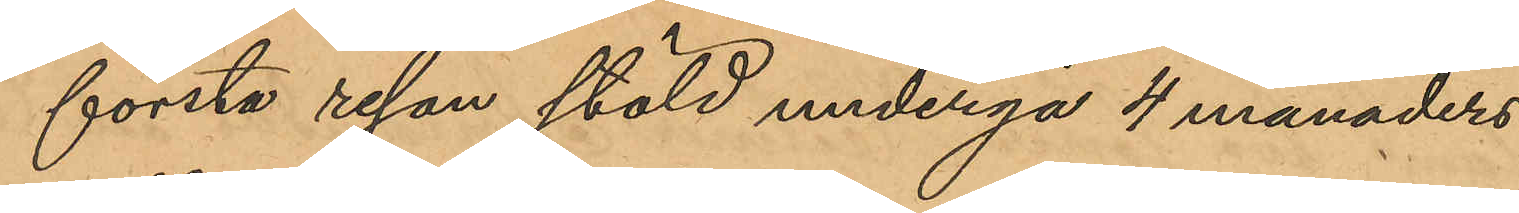första resan stöld undergå 4 månaders
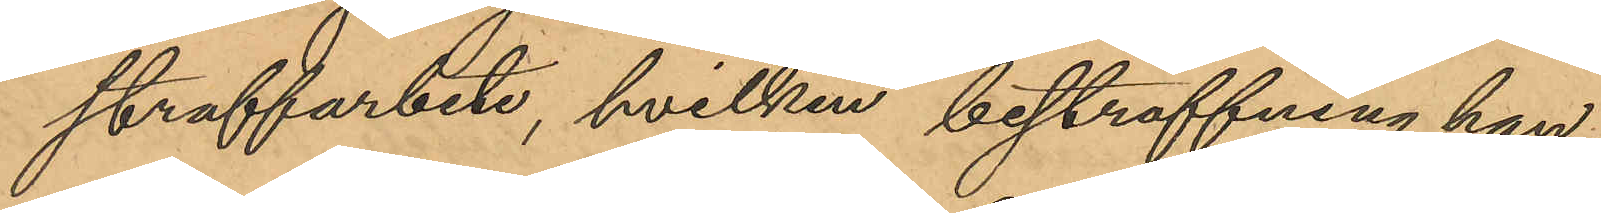straffarbete, hvilken bestraffning han
